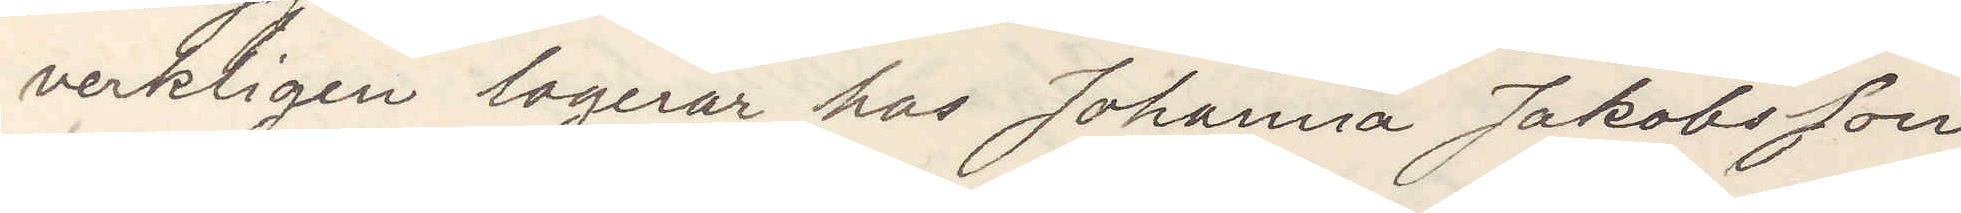verkligen logerar hos Johanna Jakobsson
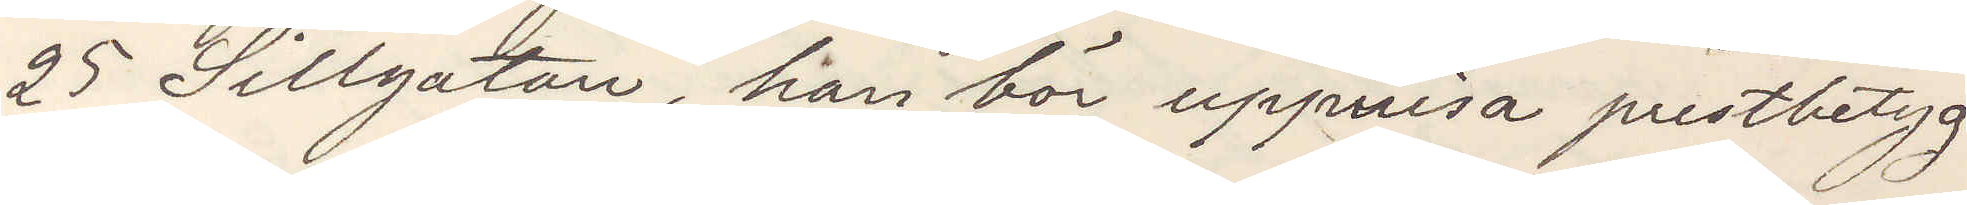25 Sillgatan, han bör uppvisa prestbetyg.
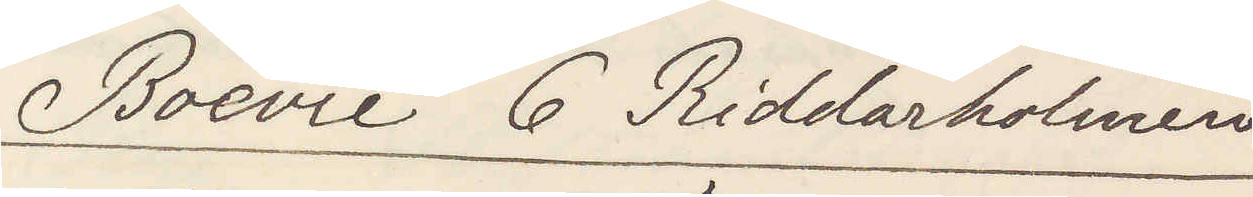Boévie 6 Riddarholmen
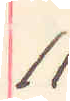11
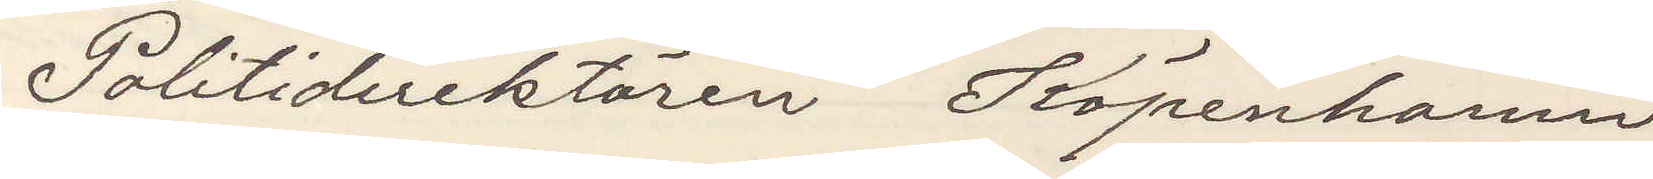Politidirektören Köpenhamn
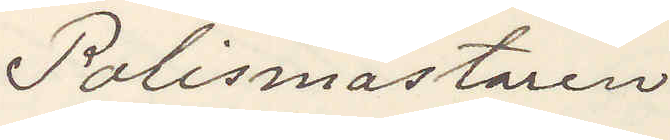Polismästaren
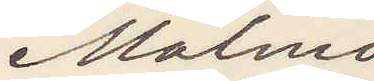Malmö
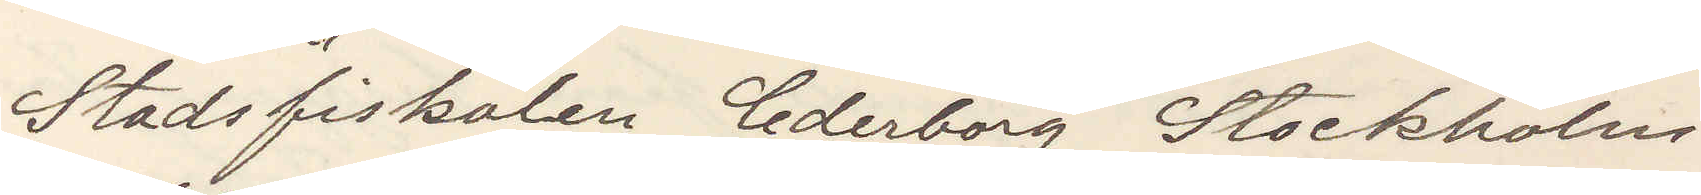Stadsfiskalen Cederborg Stockholm
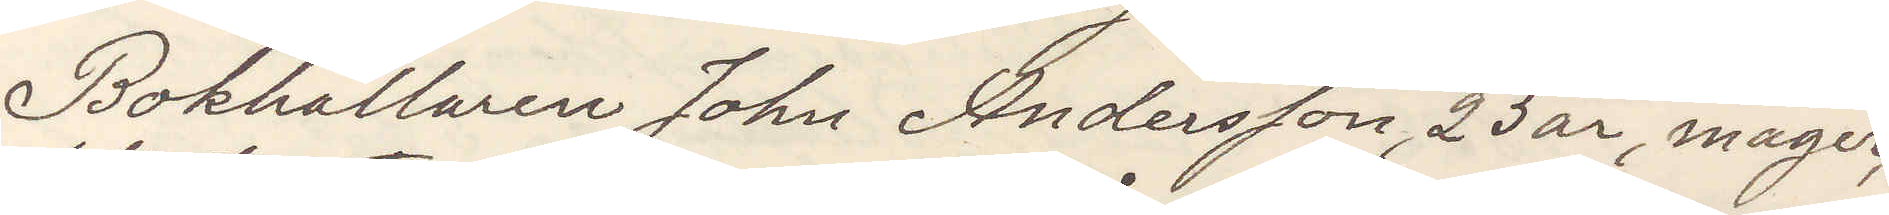Bokhållaren Johan Andersson, 23 år, mager,
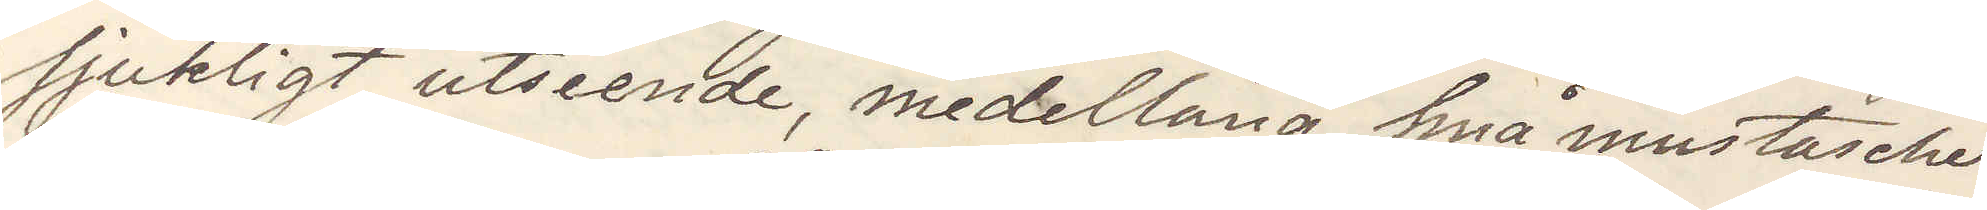sjukligt utseende, medellång, fina mustascher
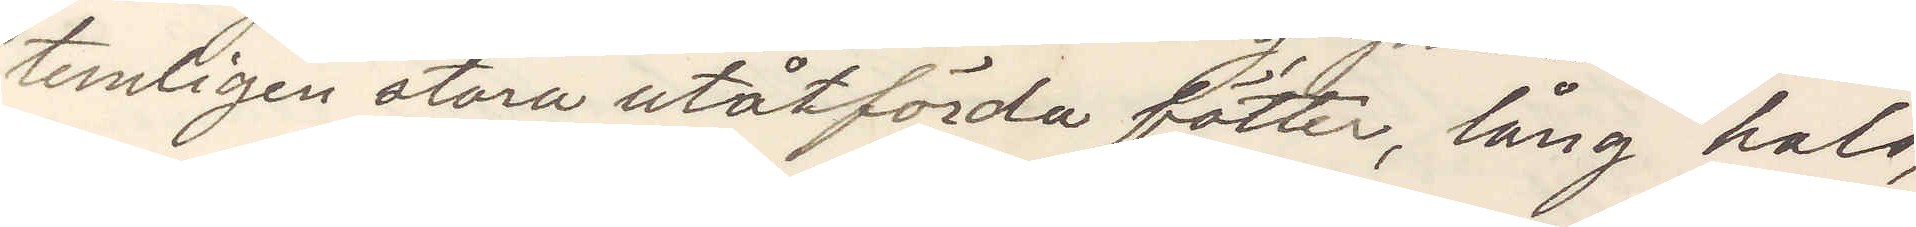temligen stora utåtförda fötter, lång hals,
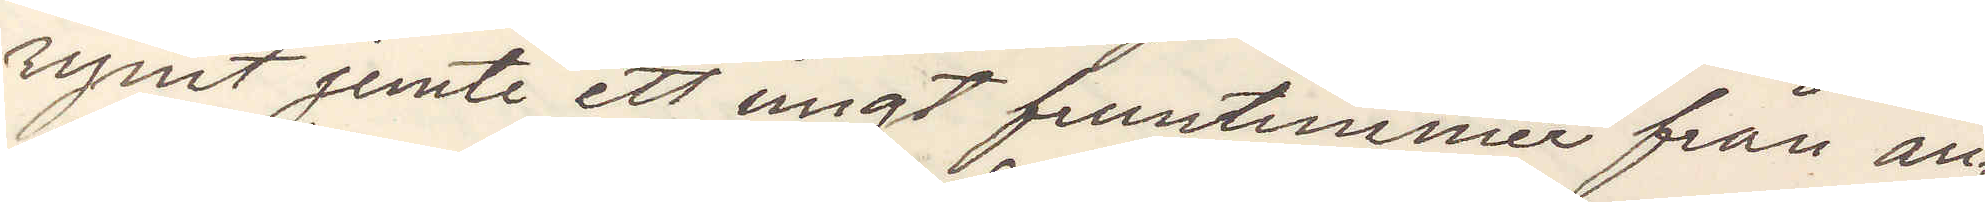rymt jemte ett ungt fruntimmer från an¬
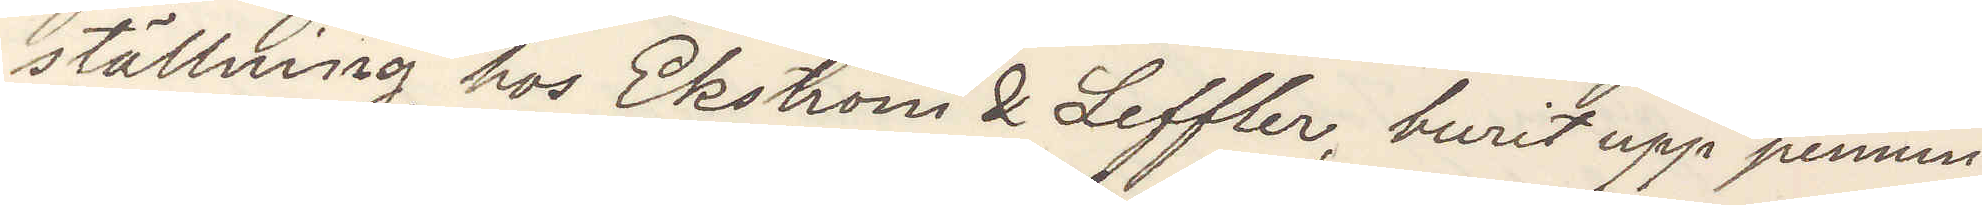ställning hos Ekström & Leffler, burit upp pennin¬
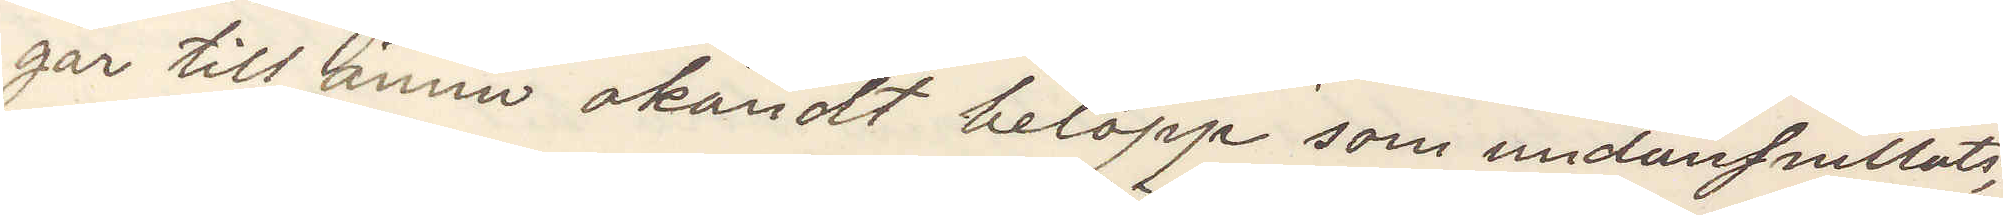gar till ännu okändt belopp som undansnillats,
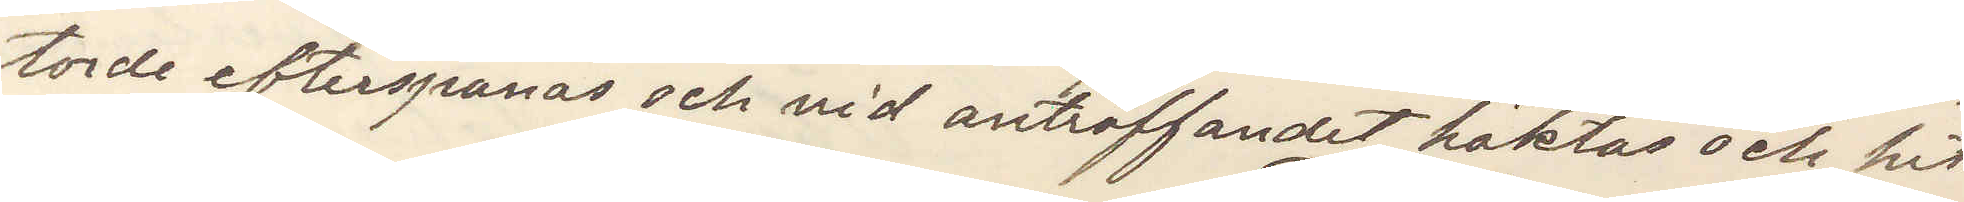torde efterspanas och vid anträffandet häktas och hit
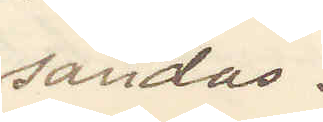sändas.
